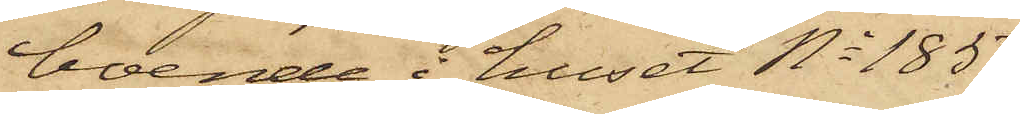boende i huset No 185
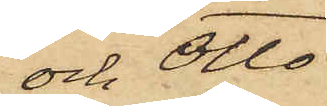och Otto
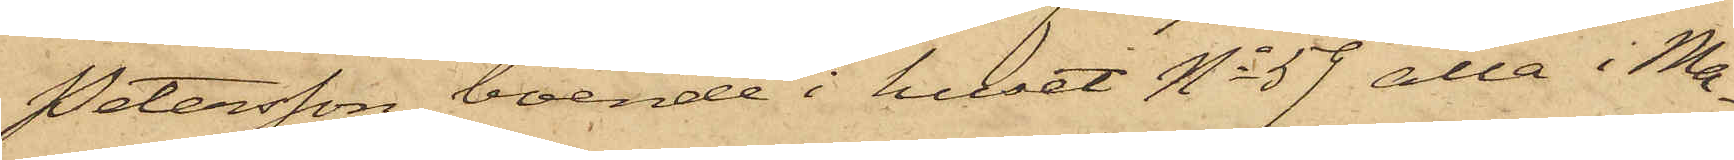Petersson, boende i huset No 59 alla i Ma¬
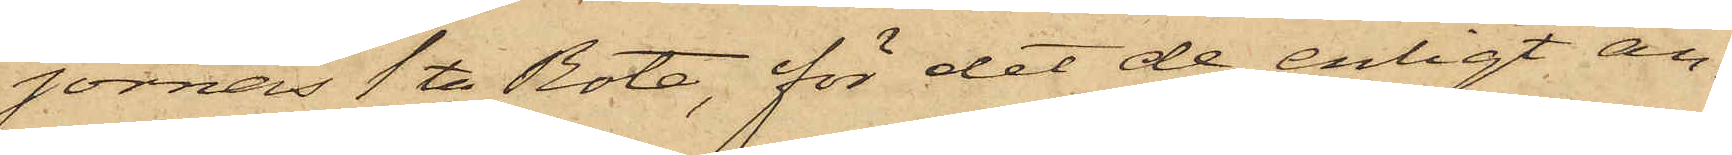jornas 1ta Rote, för det de, enligt an¬
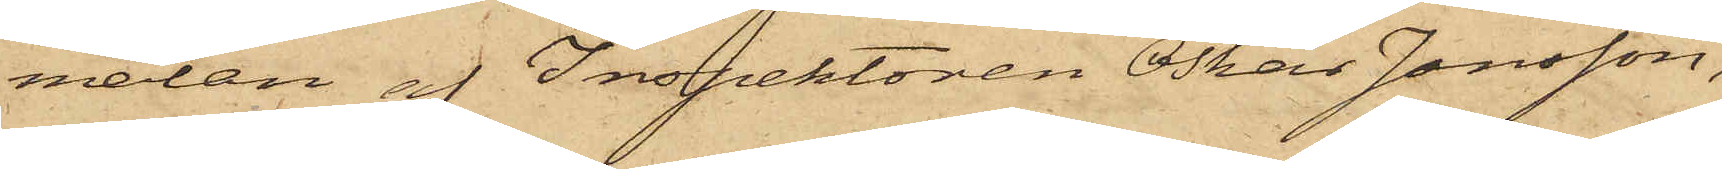mälan af Inspektoren Oskar Jonsson,
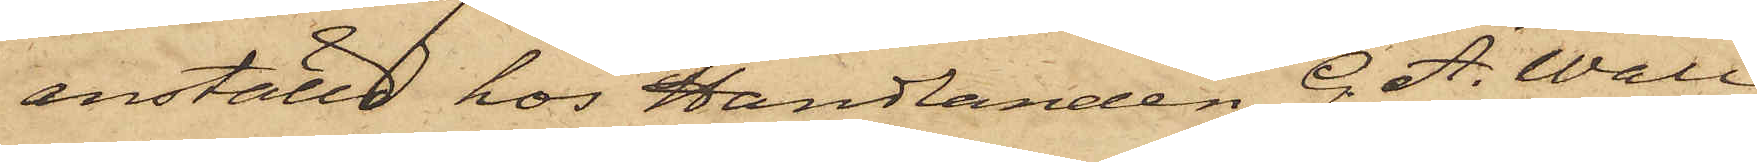inställd hos Handlanden G. A. Wall
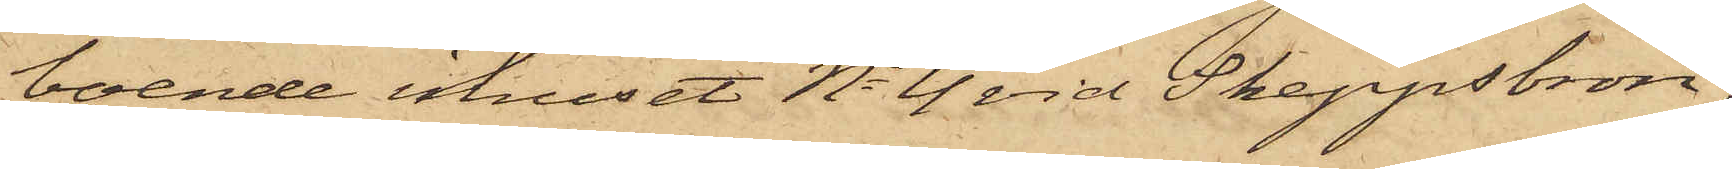boende i huset No 4 vid Skeppsbron,
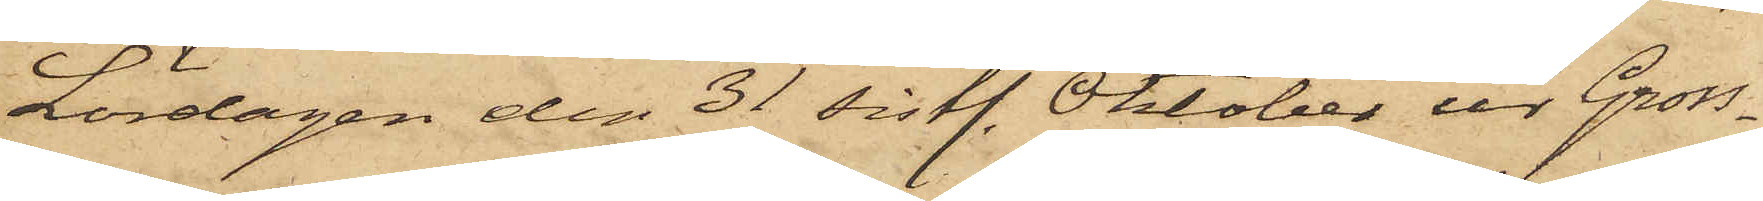Lördagen den 31 sistl. Oktober ur Gross¬
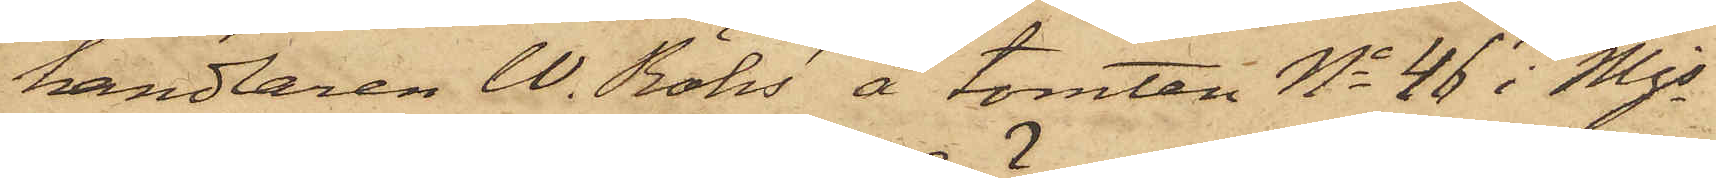handlaren W. Röhs' å tomten No 46 i Mjs
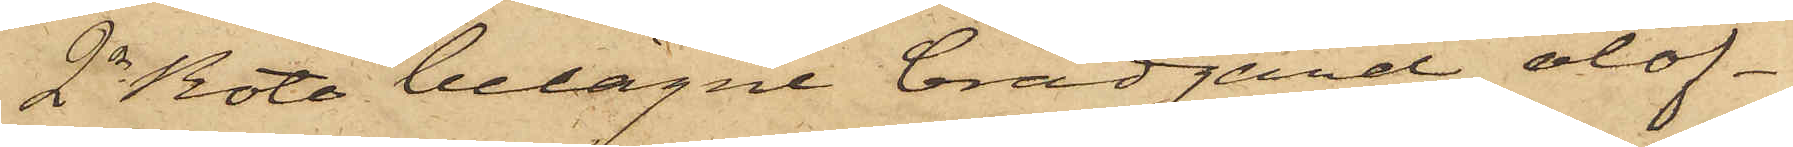2dra Rote belägne brädgård olof¬
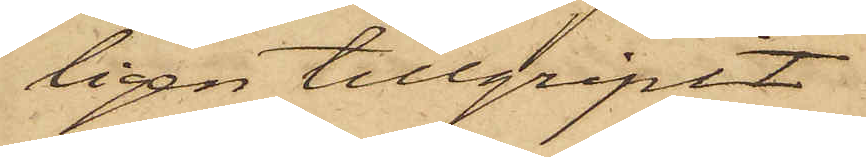ligen tillgripit
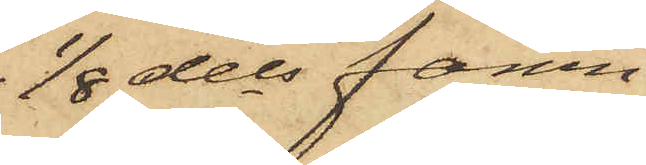1/8 dels famn
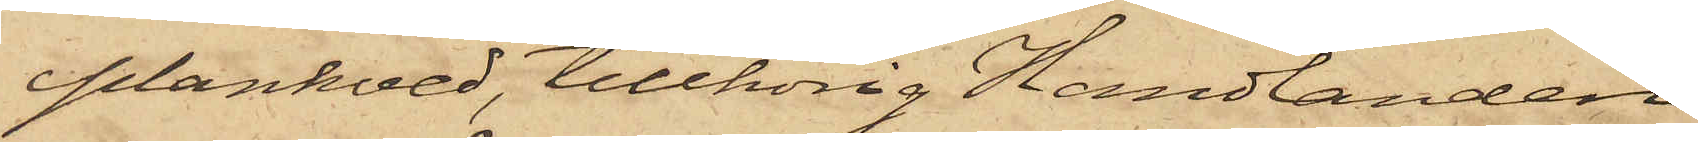plankved, tillhörig Handlanden
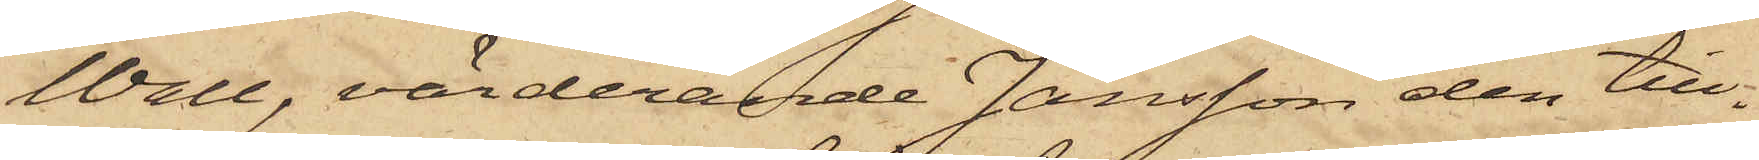Wall, värderande Jansson den till¬
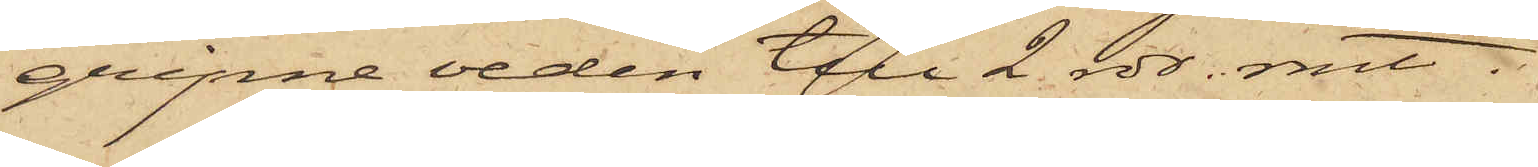gripne veden till 2 rdr. rmt.
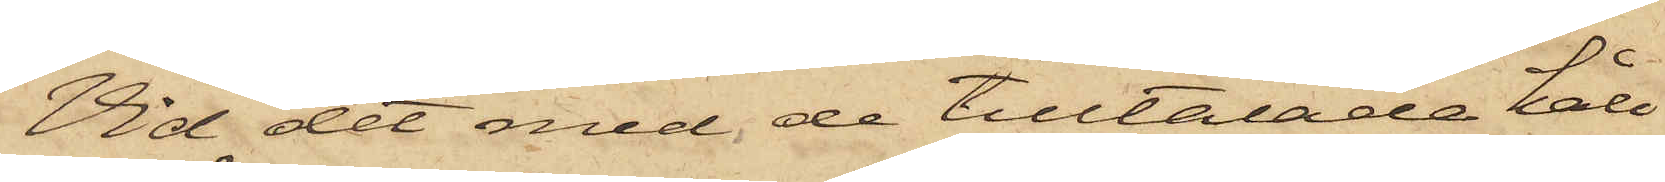Vid det med de tilltalade håll¬
